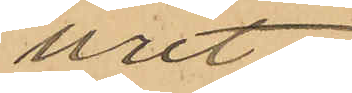uret.
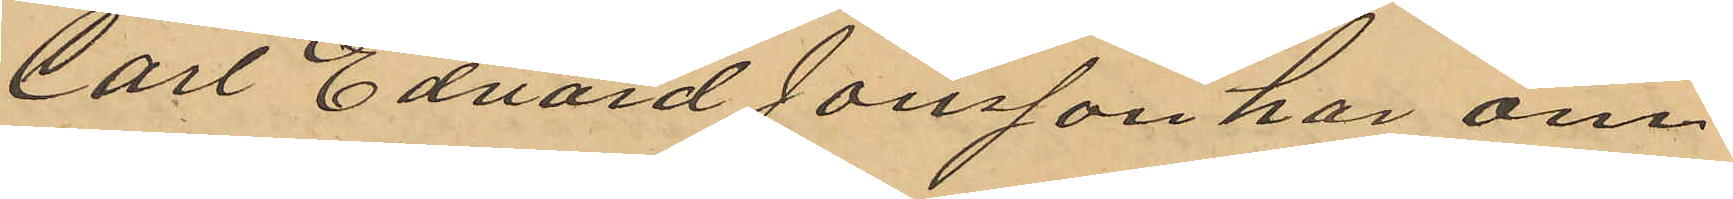Carl Edvard Jonsson har om
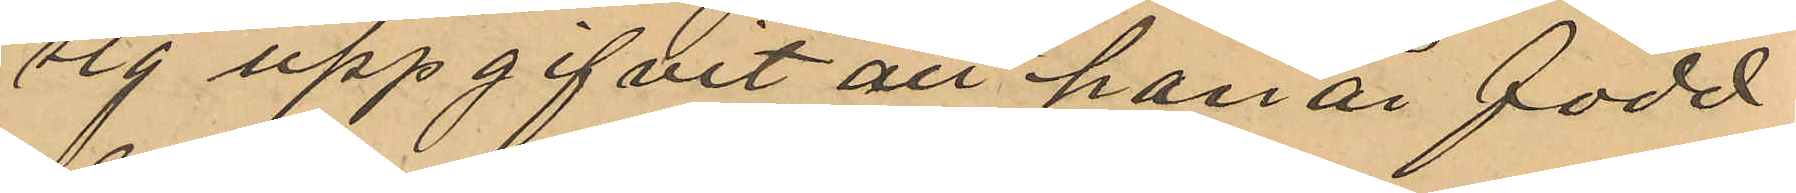sig uppgifvit att han är född
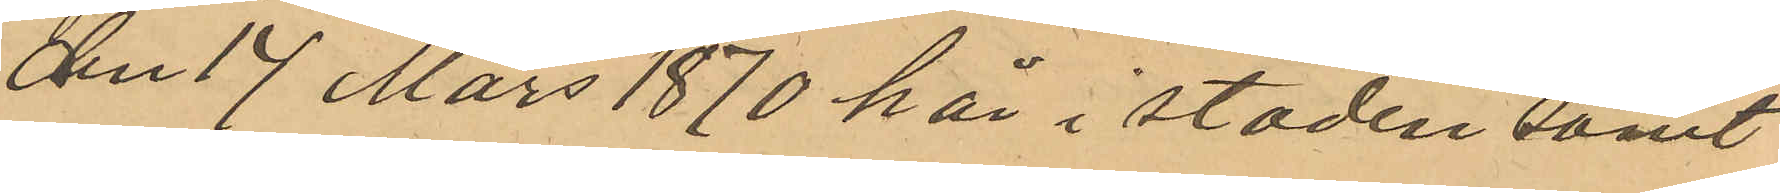den 17 Mars 1870 här i staden samt
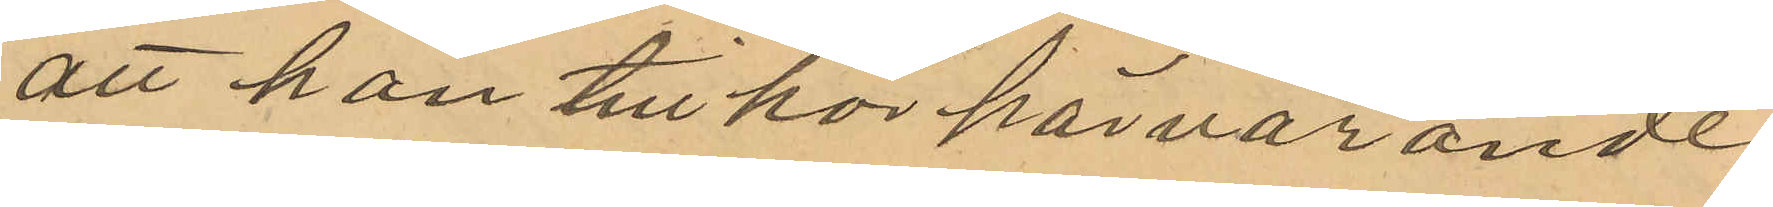att han tillhör härvarande
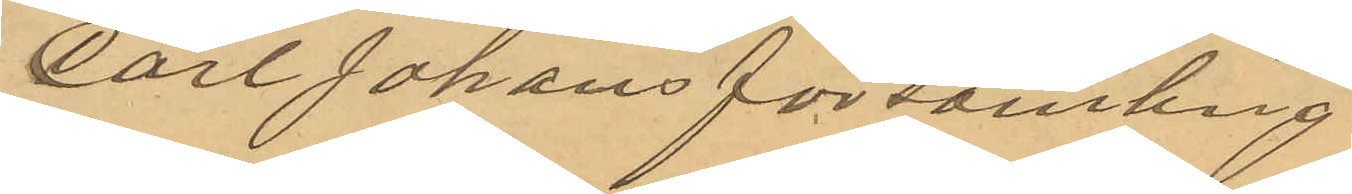Carl Johans församling.
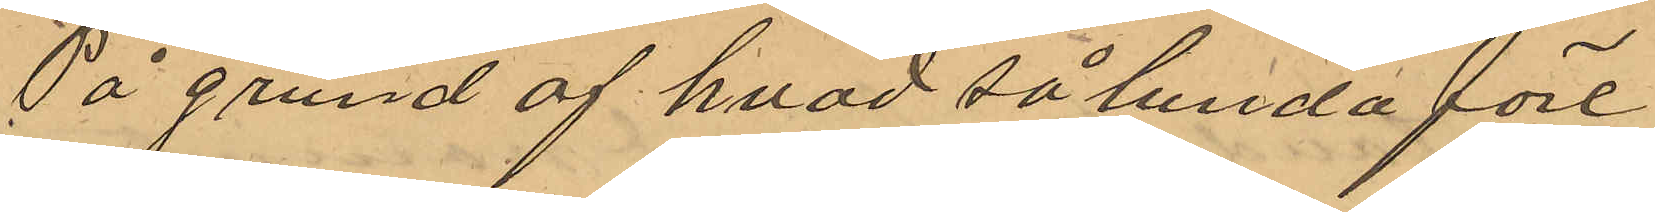På grund af hvad så lunda före¬
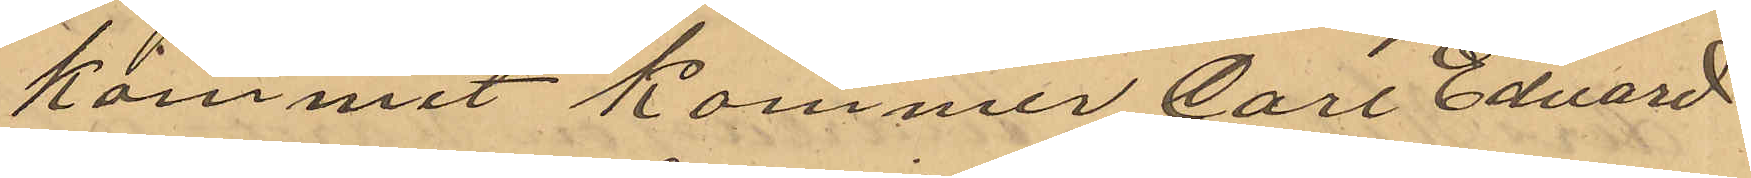kommit kommer Carl Edvard
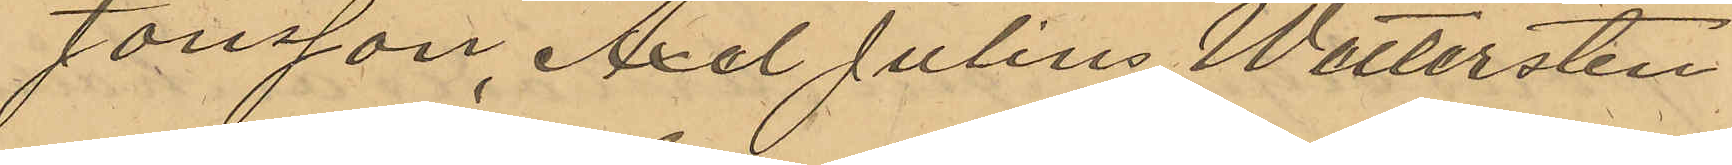Jonsson, Axel Julius Wettersten
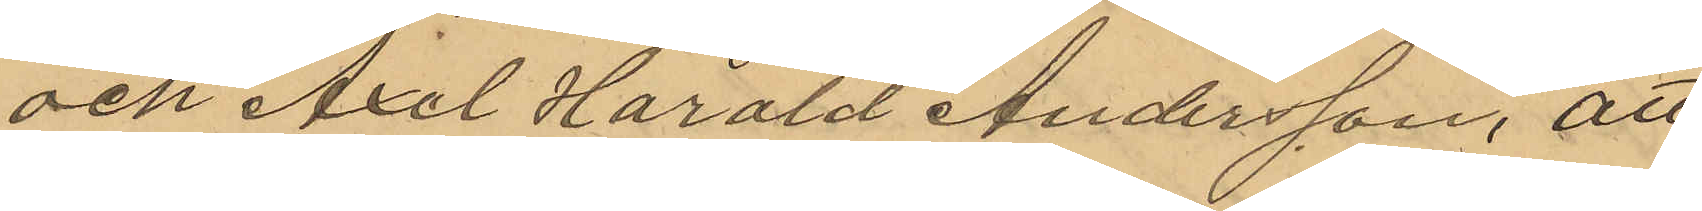och Axel Harald Andersson, att
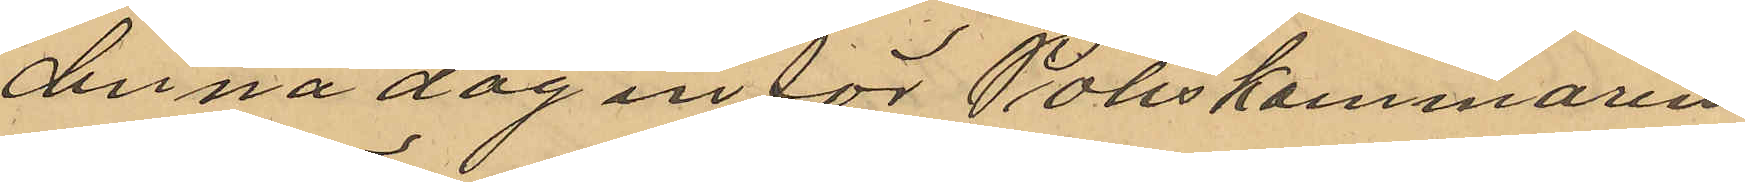denna dag in för Poliskammaren
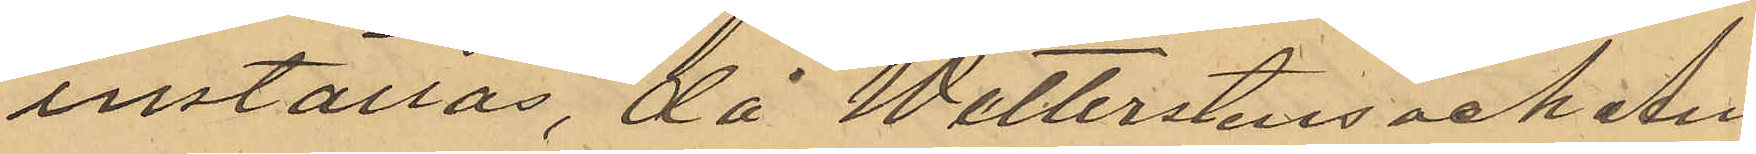inställas, då Wetterstens och An¬
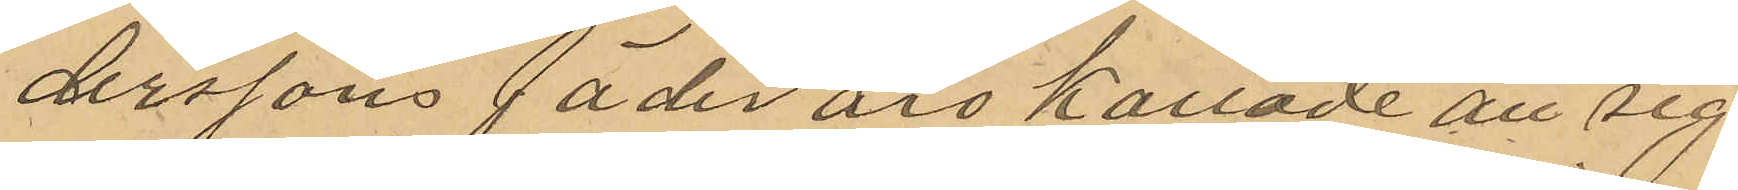derssons fäder äro kallade att sig
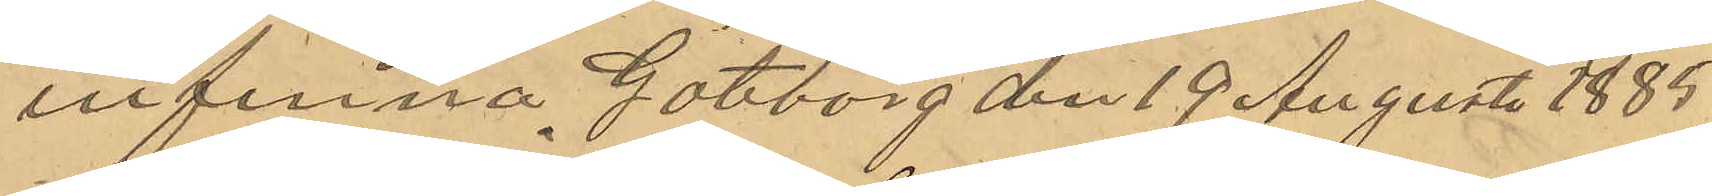infinna. Göteborg den 19 Augusti 1885.
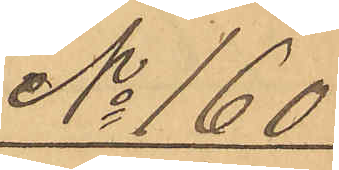No 160
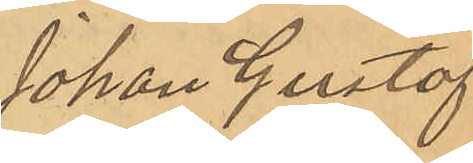Johan Gustaf
